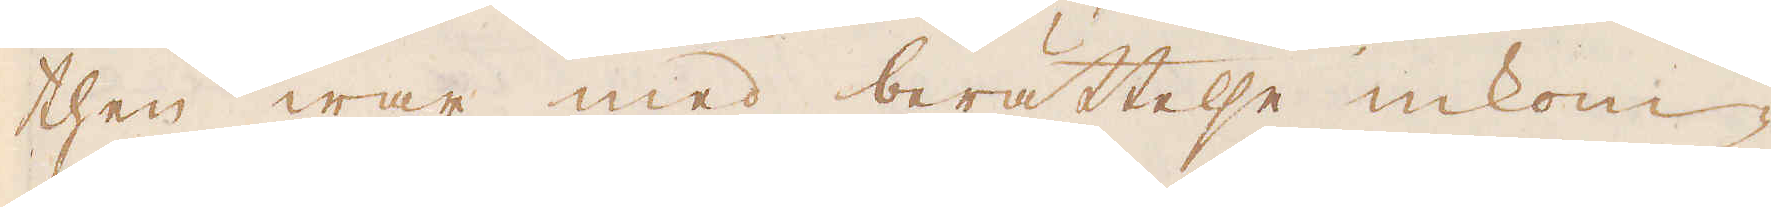then war med berättelse inkom-
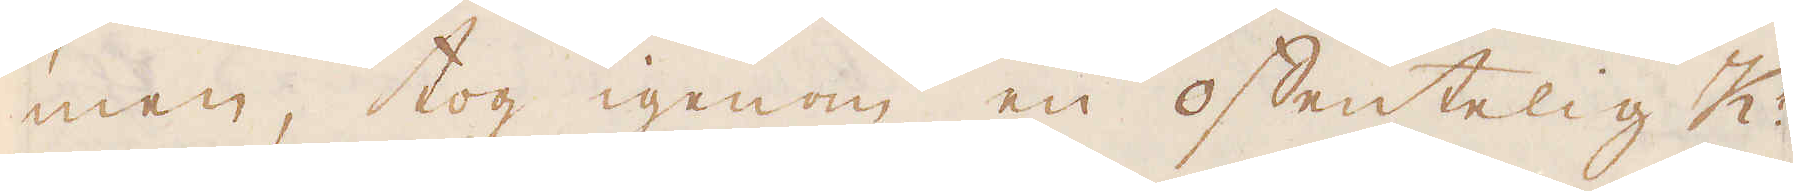men, tog igenom en offentelig K:
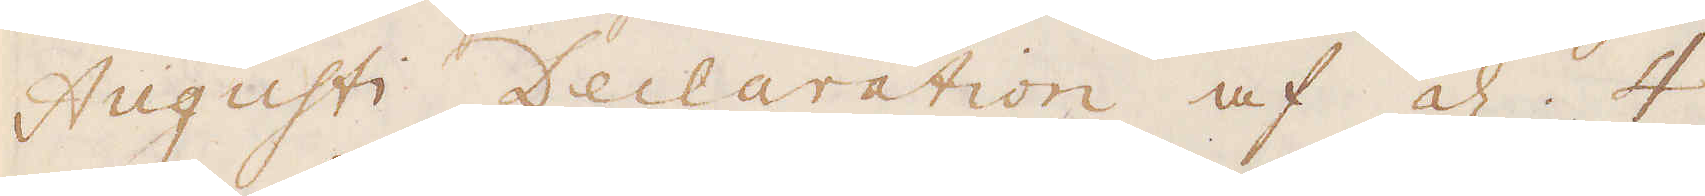Augusti Declaration af d. 4
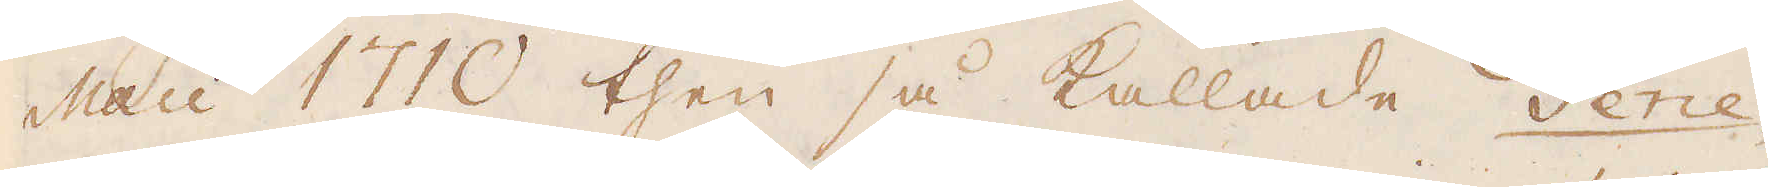Maii 1710 then så kallade Gene-
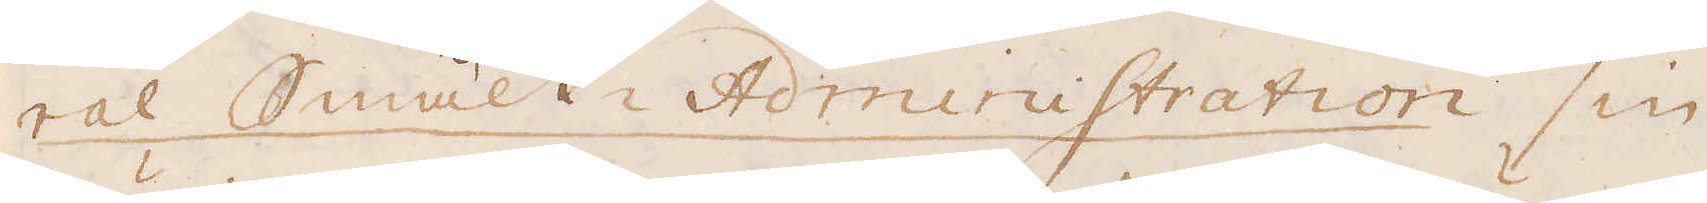ral Smält- Administration sin
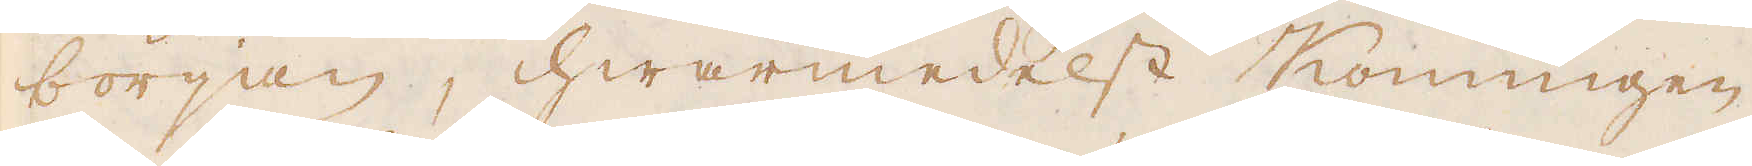början, hwarmedelst Konungen
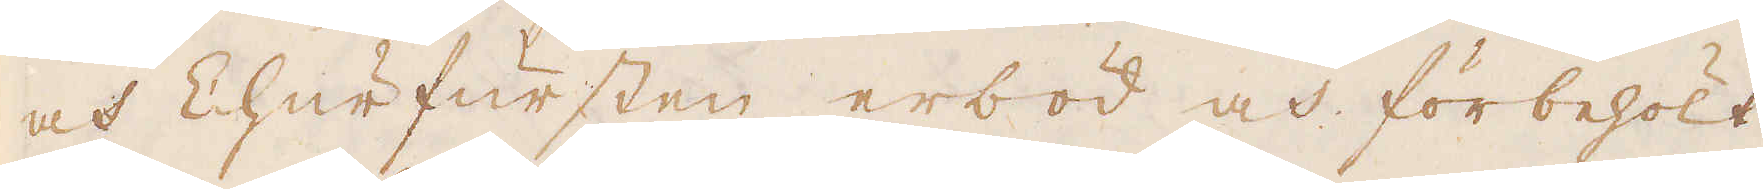och Churfursten erböd och förbehölt
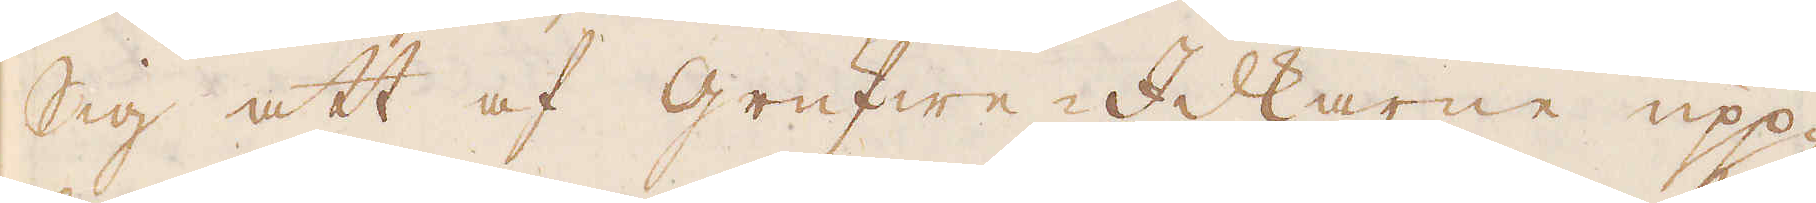sig att af grufwe-Idkarne upp-
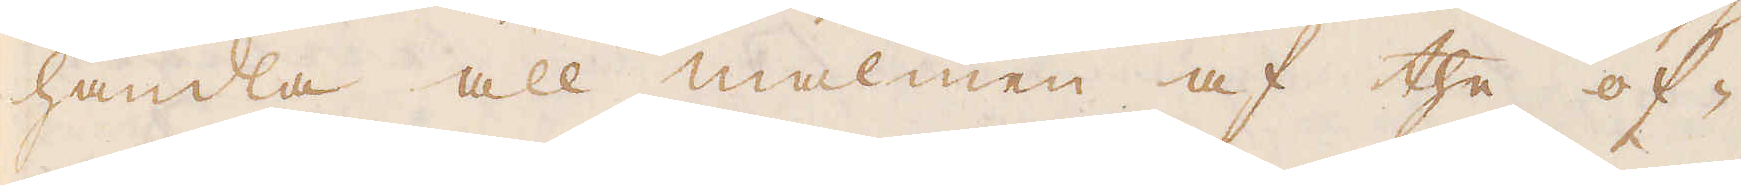handla all malmen af the of-
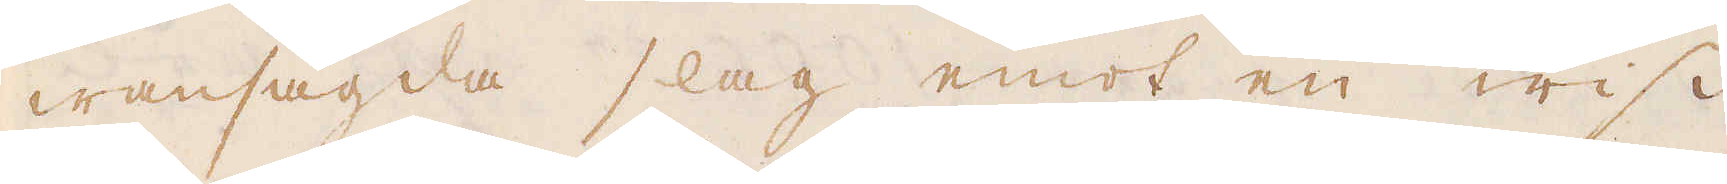wansagda slag emot en wiss
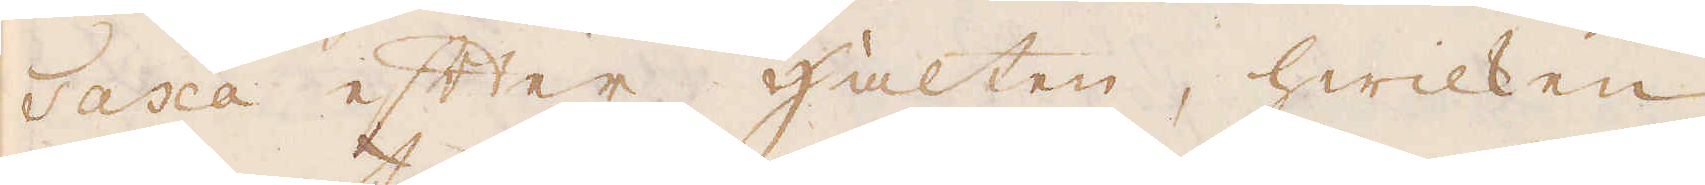Taxa efter Hälten, hwilken
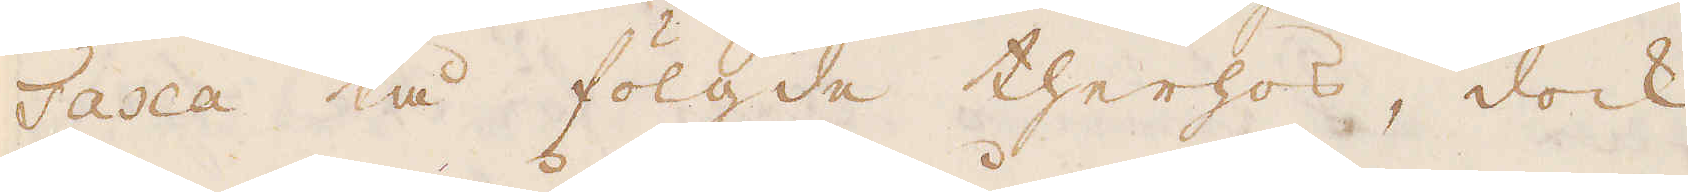Taxa tå fölgde therhos, dock
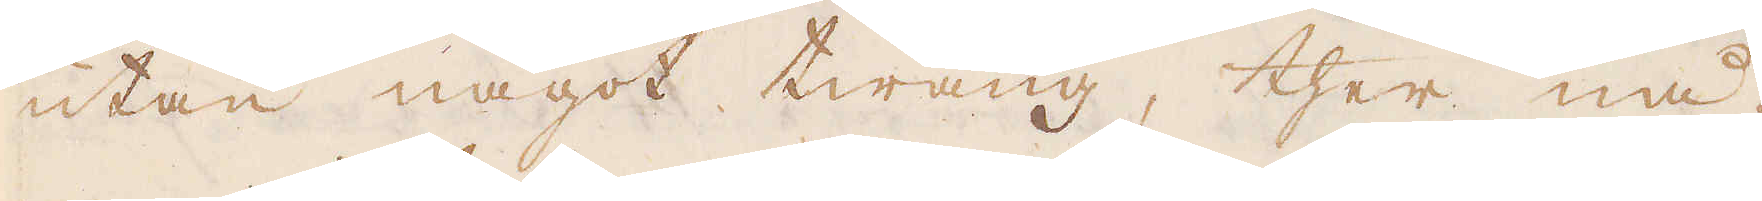utan något twång, ther nå-
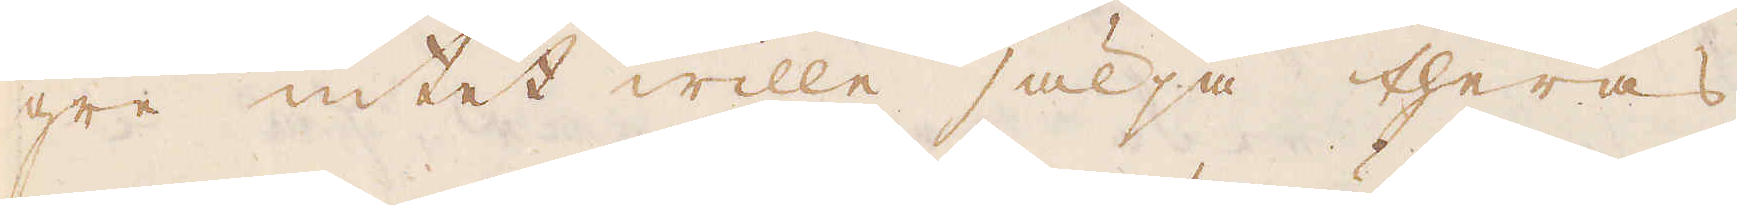gre intet wille sälja theras
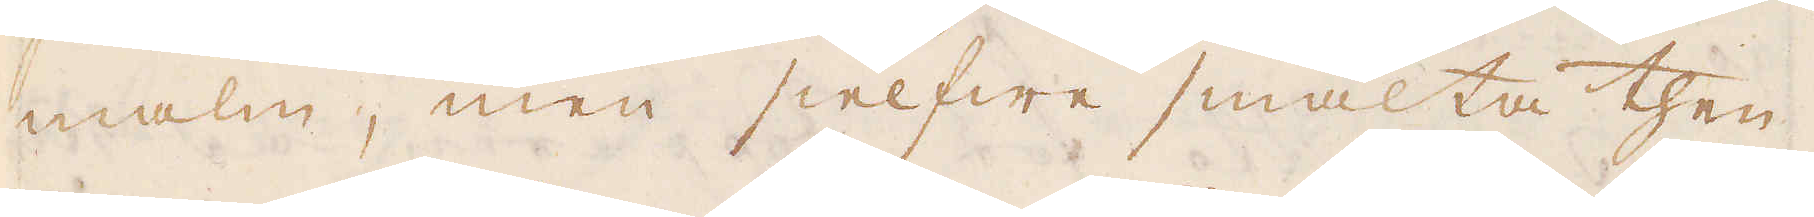malm, men sielfwe smälta then
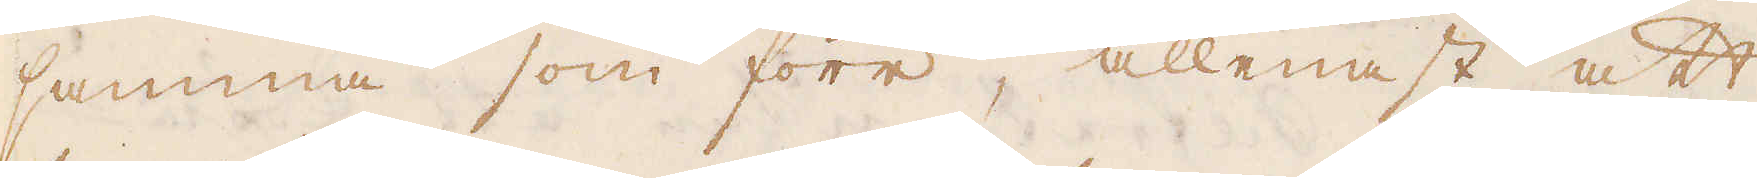samma som förr, allenast att
